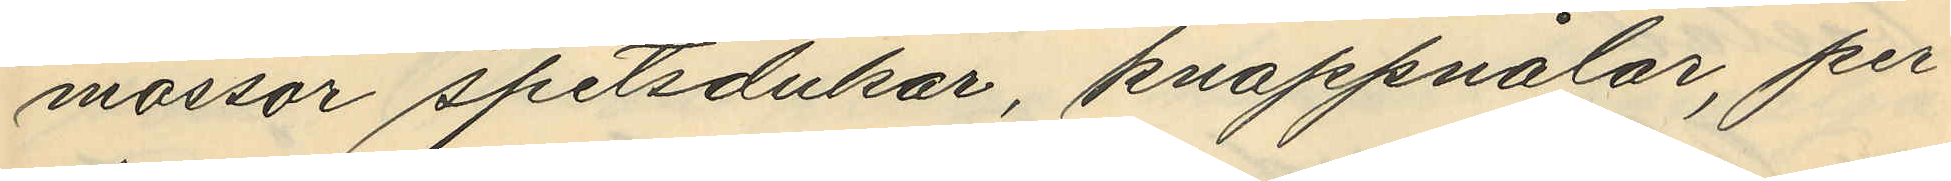mössor, spetsdukar, knappnålar, per¬
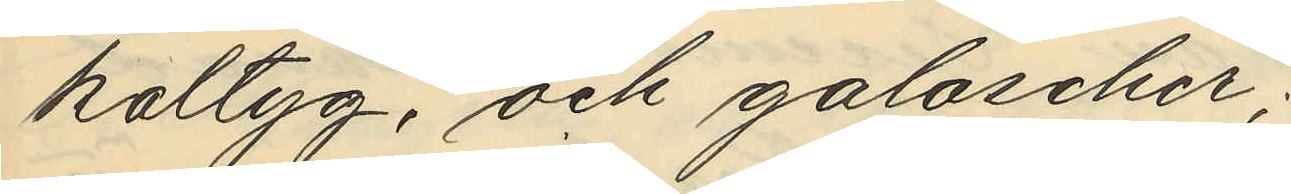kaltyg, och galoscher;
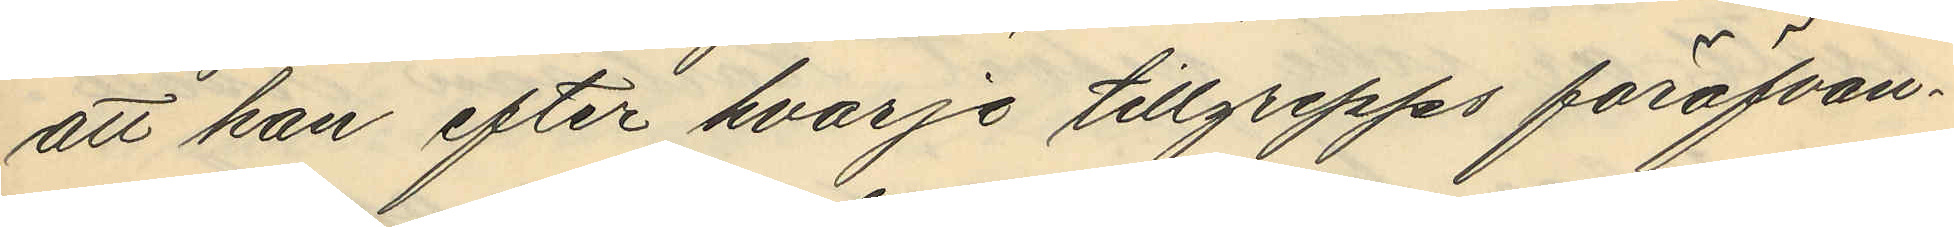att han efter hvarje tillgrepps föröfvan¬
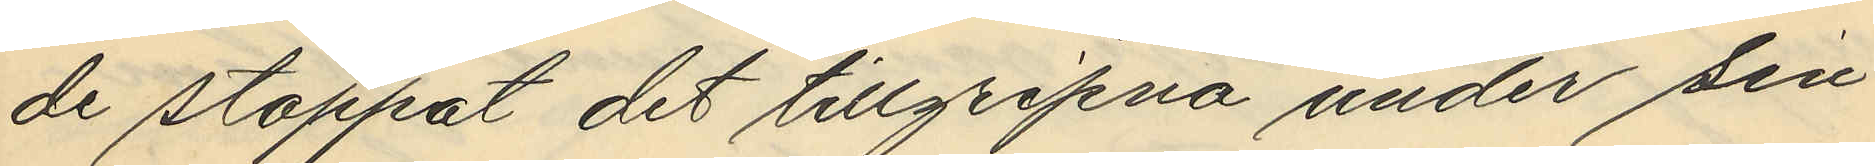de stoppat det tillgripna under sin
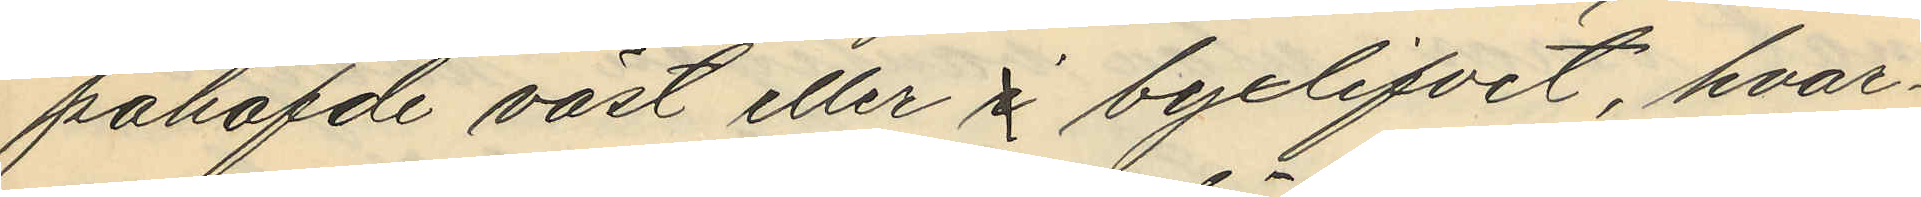påhöfvde väst eller i byxlifvit, hvar¬
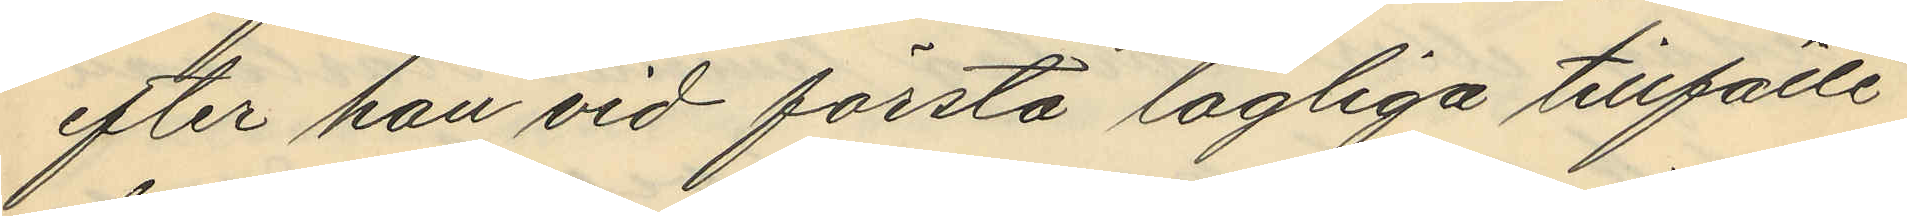efter han vid första lagliga tillfälle
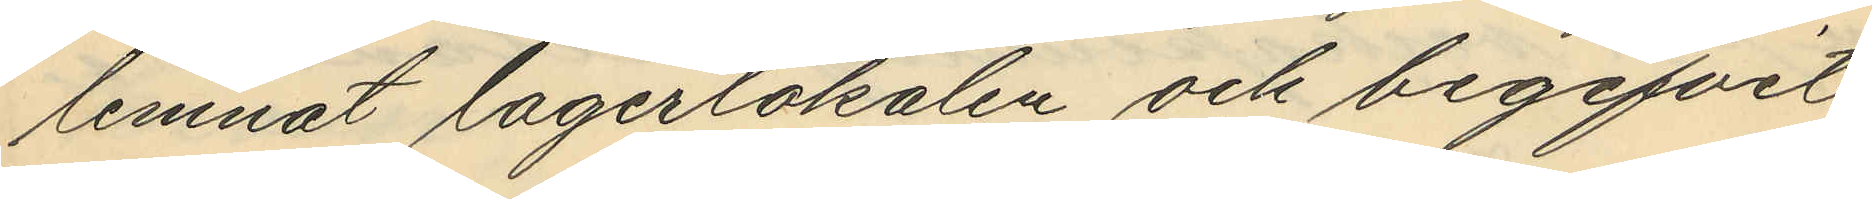lemnat lagerlokalen och begifvit
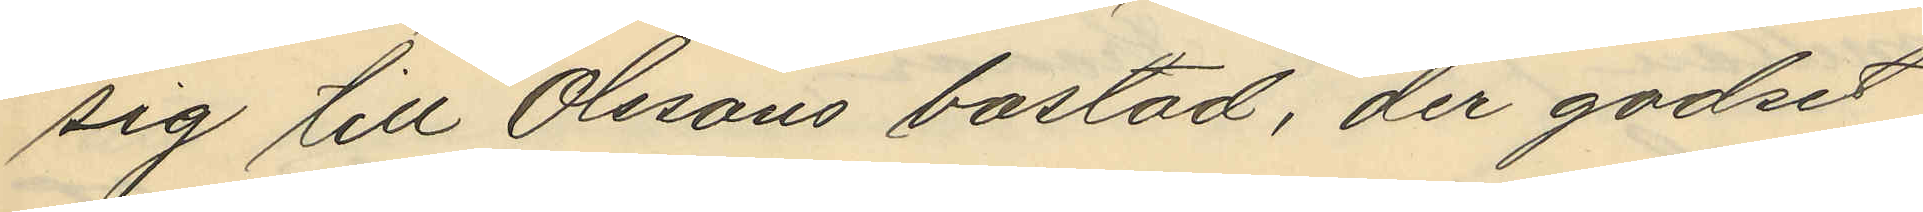sig till Olssons bostad, der godset
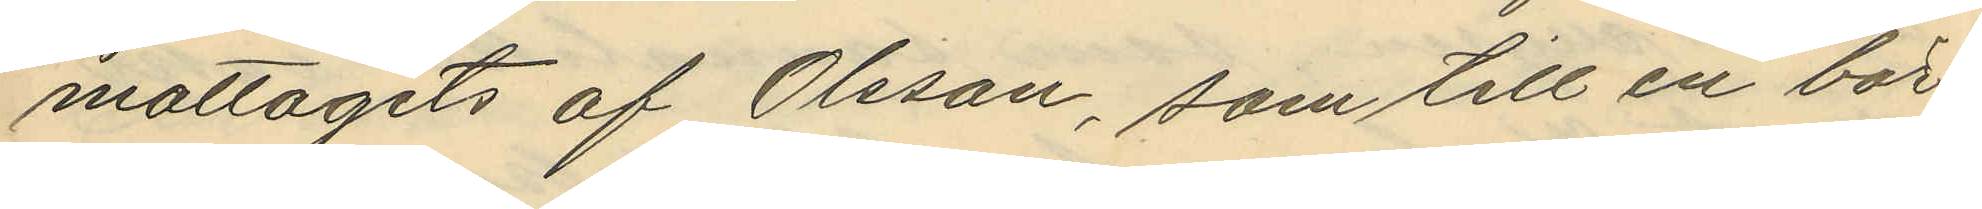mottagits af Olsson, som till en bör¬
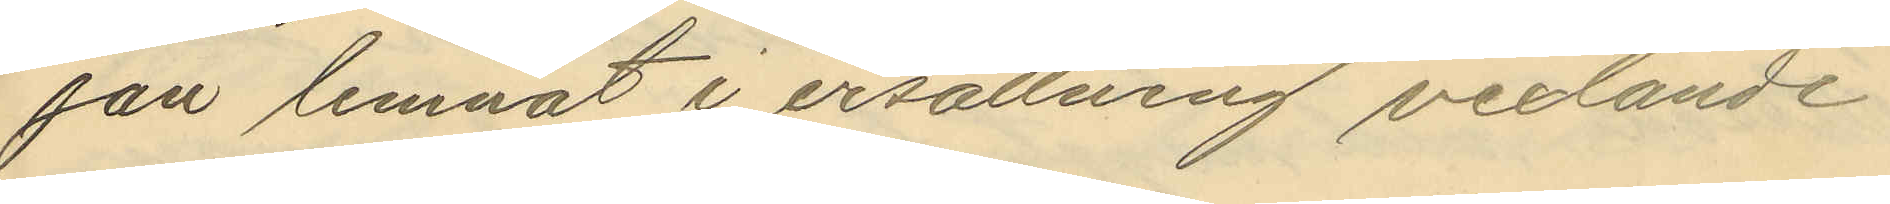jan lemnat i ersättning vexlande
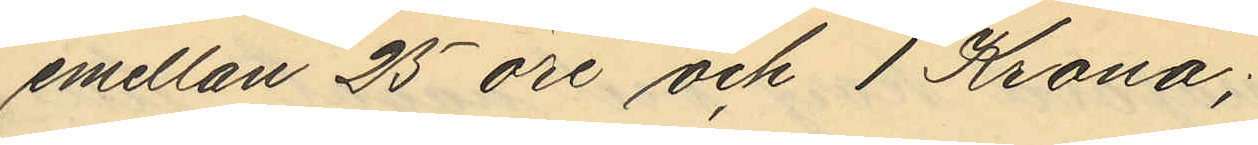emellan 25 öre och 1 Krona;
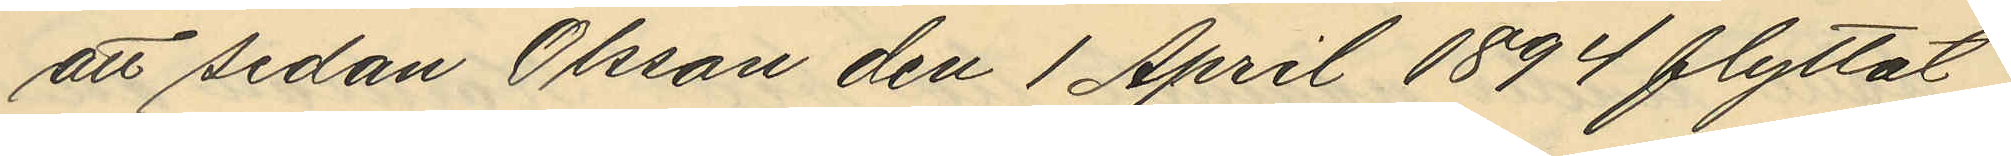att sedan Olsson den 1 April 1894 flyttat
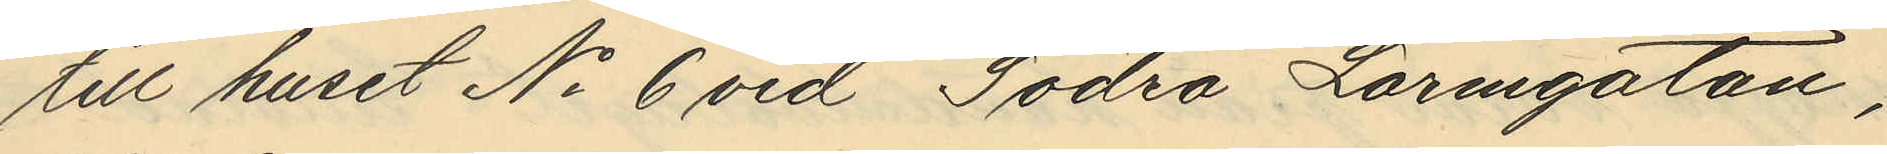till huset No 6 vid Södra Larmgatan,
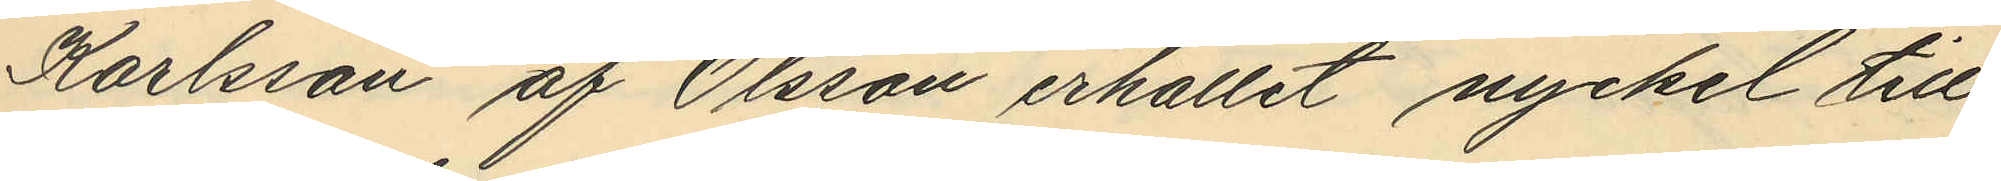Karlsson af Olsson erhållit nyckel till
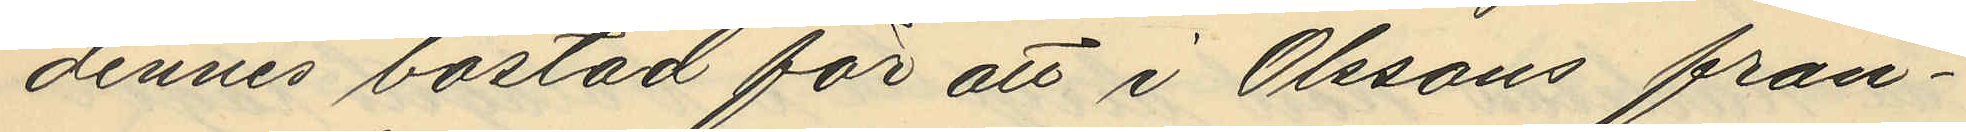dennes bostad för att i Olssons från¬
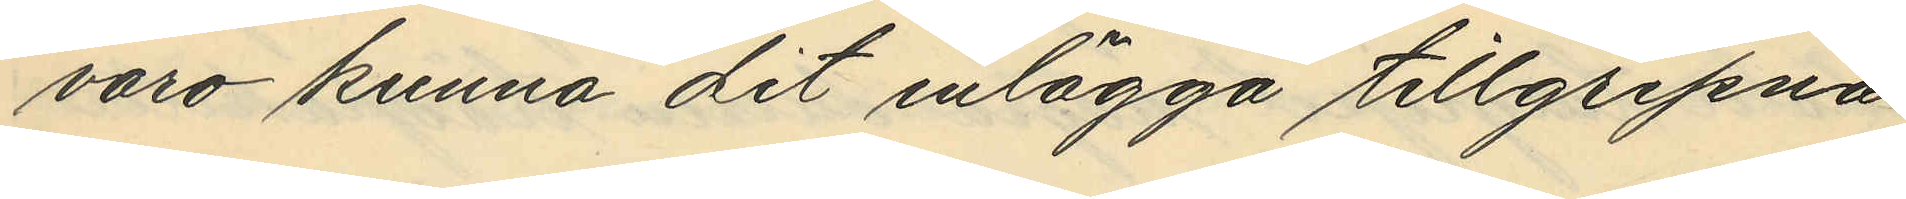voro kunna dit inlägga tillgripna
